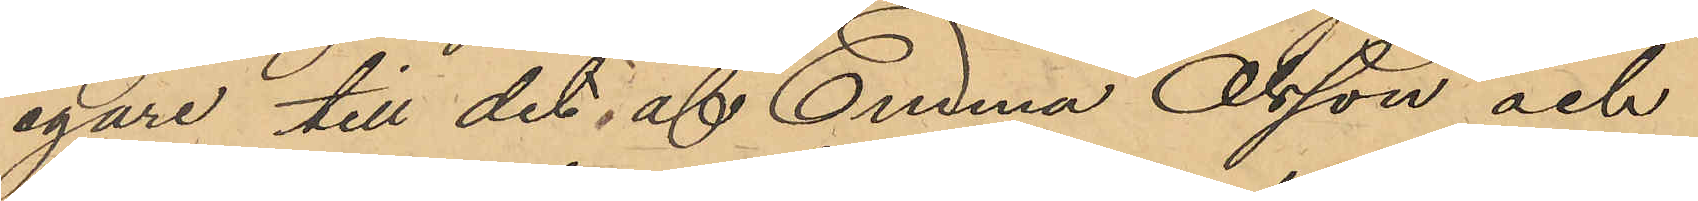egare till det, af Emma Olsson och
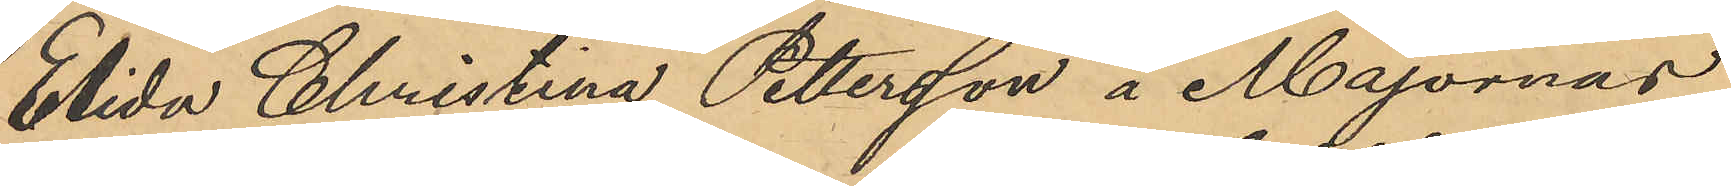Elida Christina Pettersson å Majornas
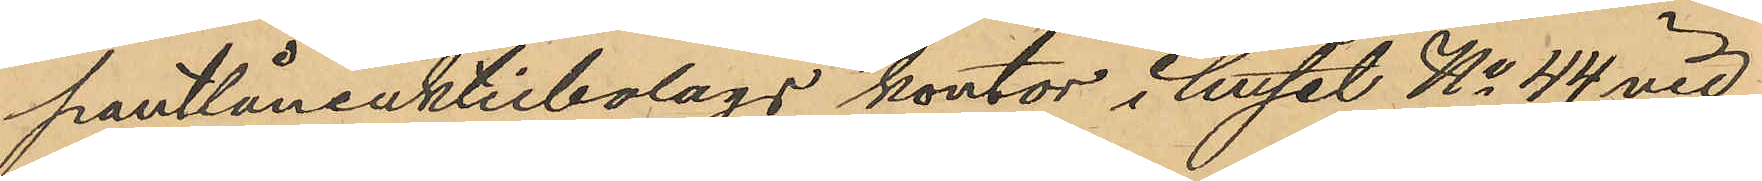pantlåneaktiebolags kontor i huset No 44 vid
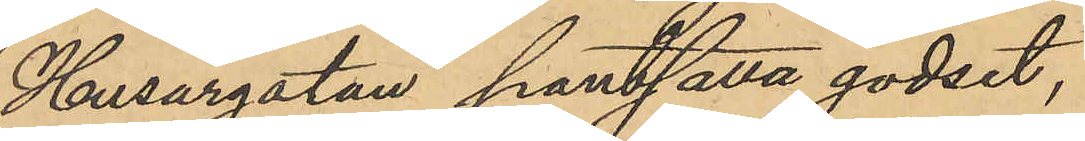Husargatan pantsatta godset,
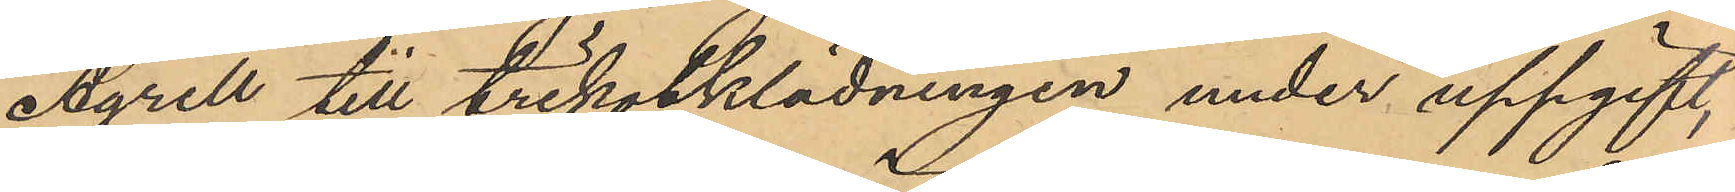Agrell till trikotklädningen under uppgift,
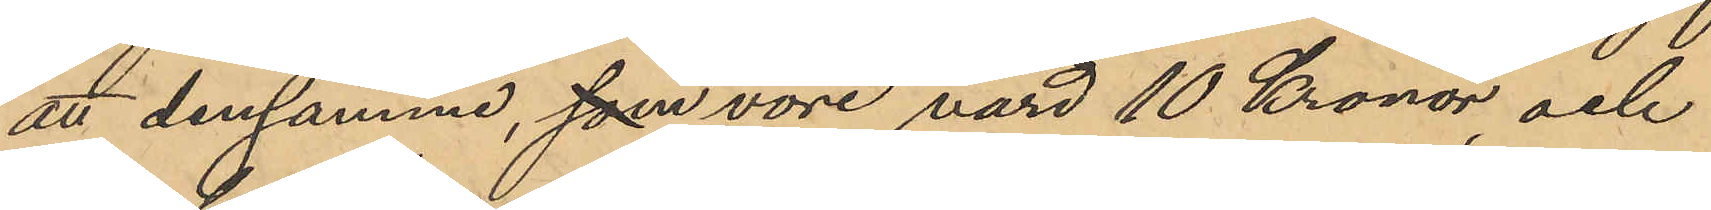att densamma, som vore värd 10 Kronor och
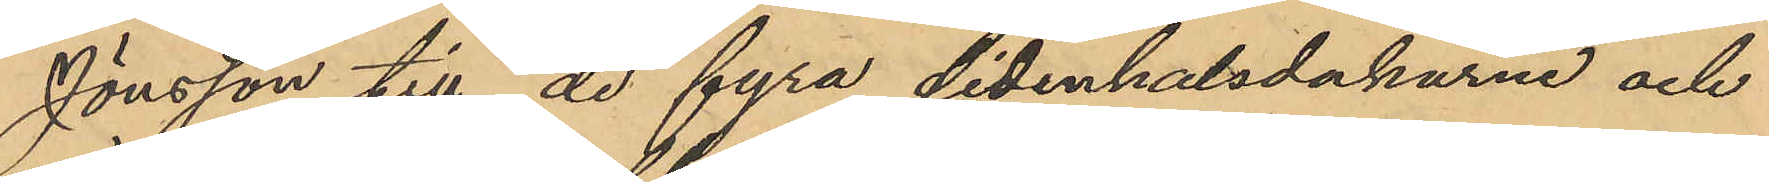Jonsson till de fyra sidenhalsdukarna och
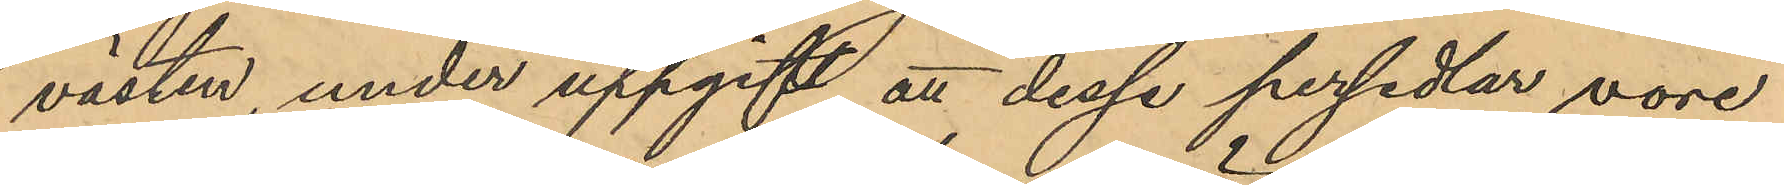västen under uppgift att dessa persedlar vore
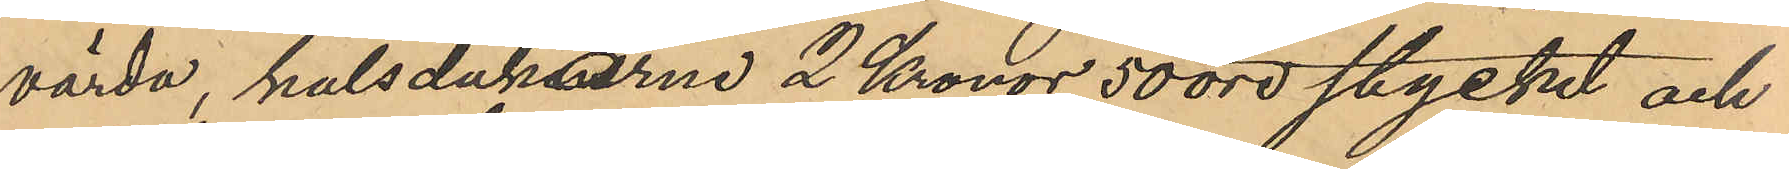värda, halsdukarne 2 Kronor 50 öre stycket och
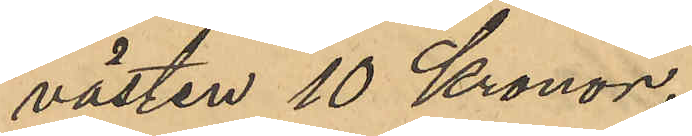västen 10 Kronor.
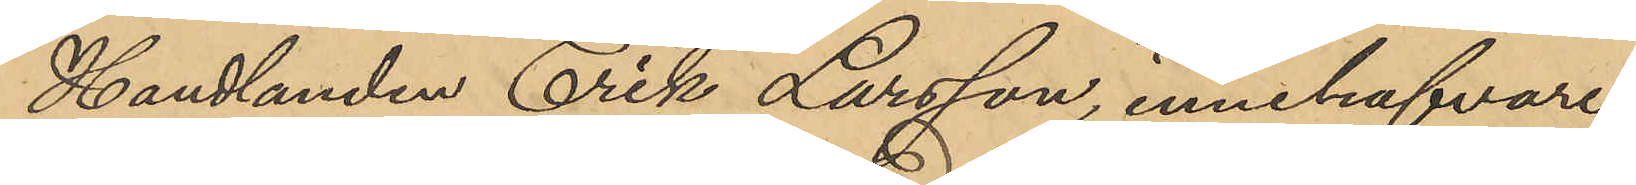Handlanden Erik Larsson, innehafvare
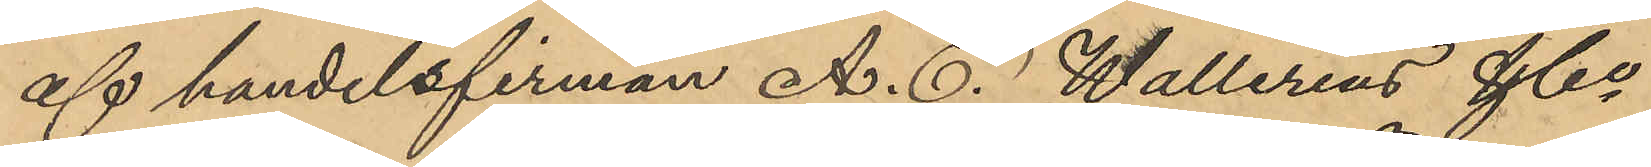af handelsfirman A. E. Wallerius & Co
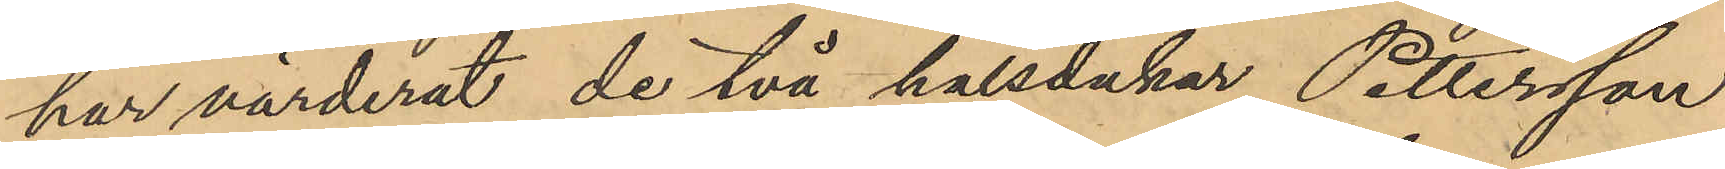har värderat de två halsdukar Pettersson
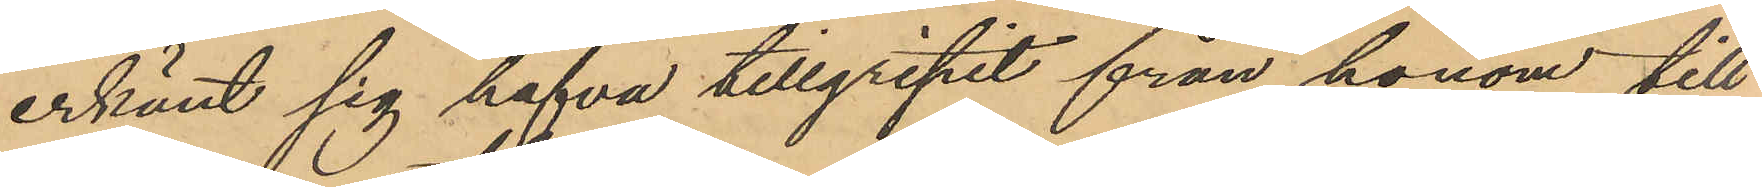erkänt sig hafva tillgripit från honom till
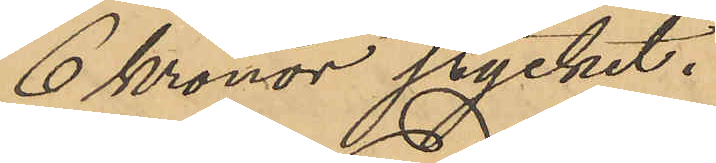6 kronor stycket.
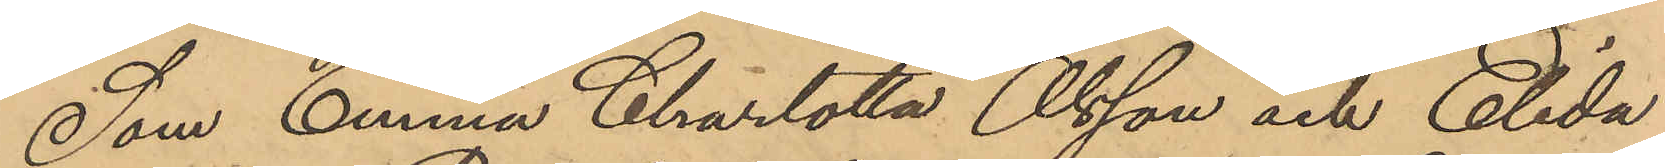Som Emma Charlotta Olsson och Elida
